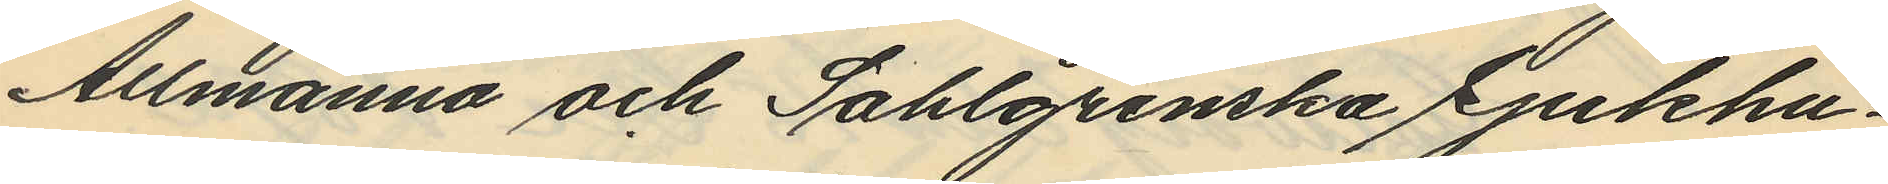Allmänna och Sahlgrenska Sjukhu¬
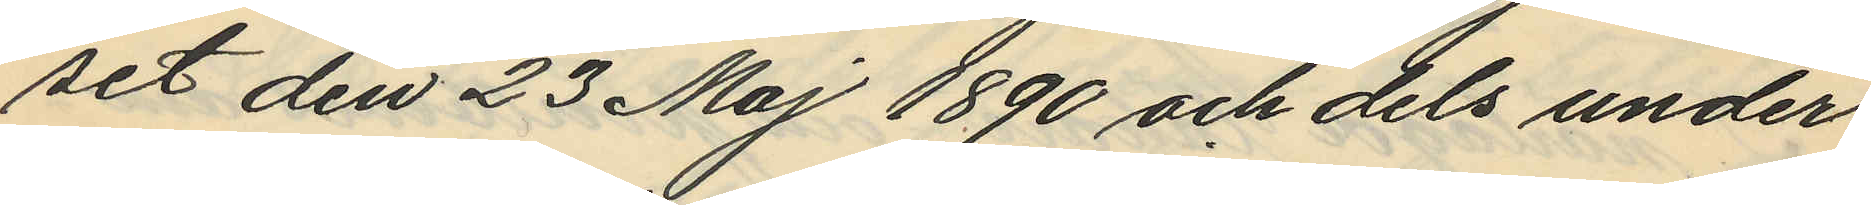set den 23 Maj 1890 och dels under
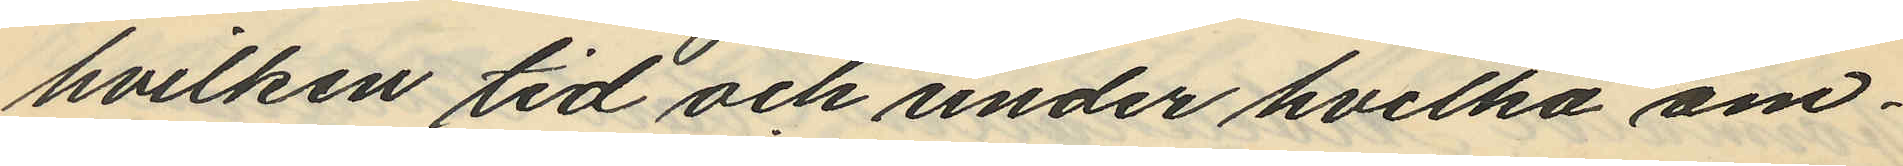hvilken tid och under hvilka om¬
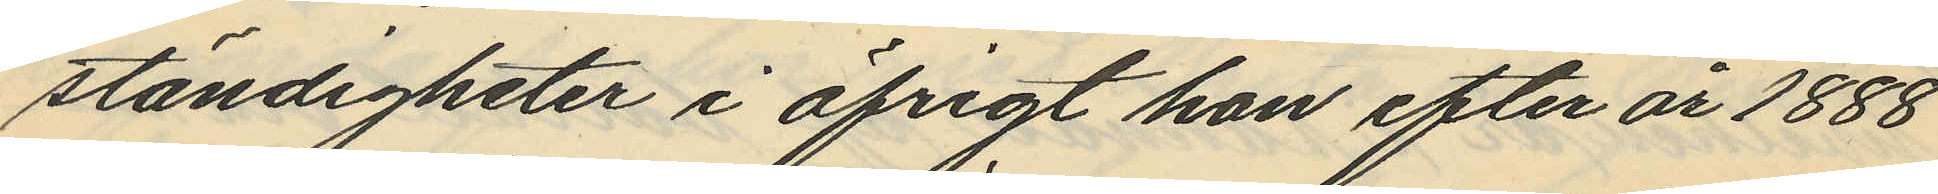ständigheter i öfrigt hon efter år 1888
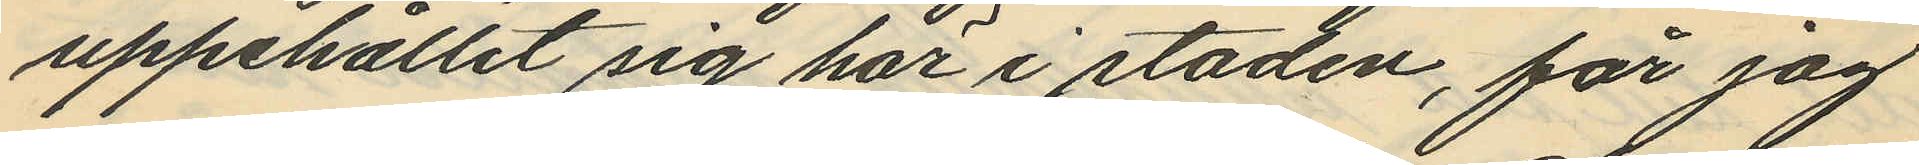uppehållit sig här i staden, får jag
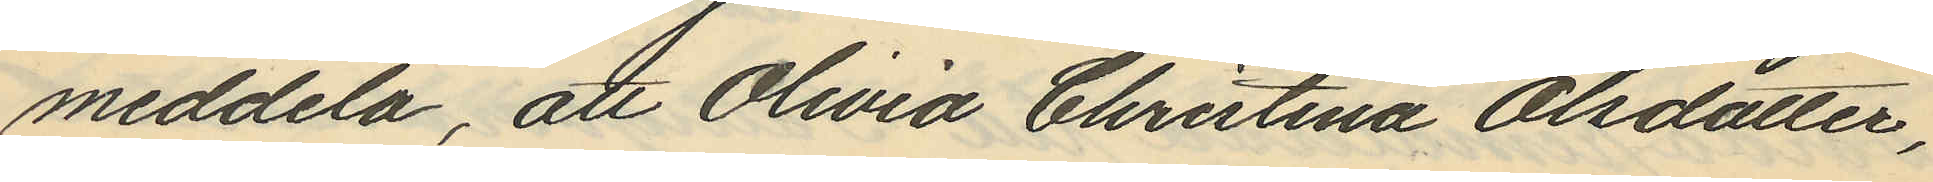meddela, att Olivia Christina Olsdotter,
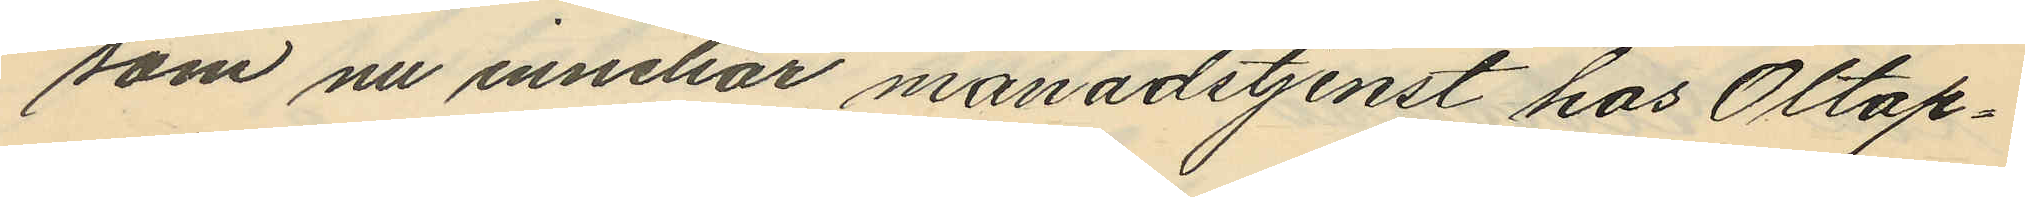som nu innehar månadstjenst hos Oltap¬
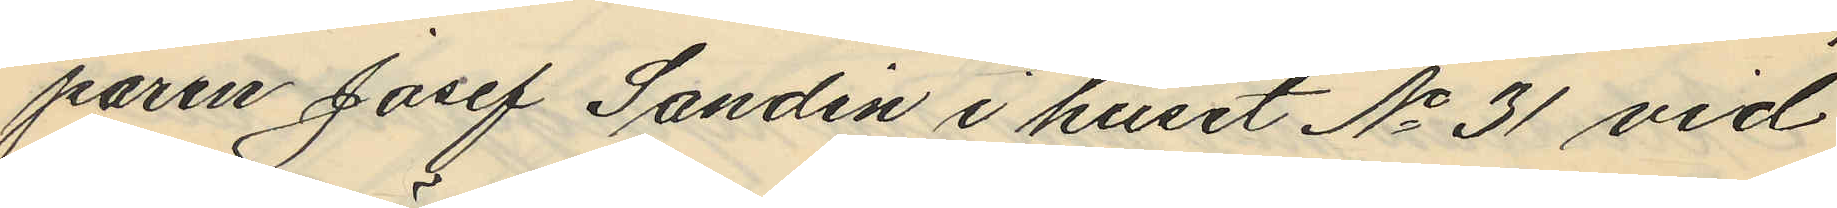paren Josef Sandin i huset No 31 vid
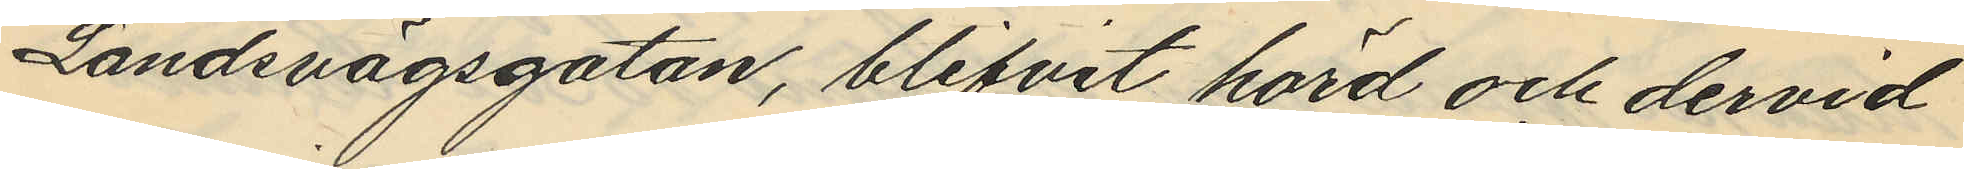Landsvägsgatan, blifvit hörd och dervid
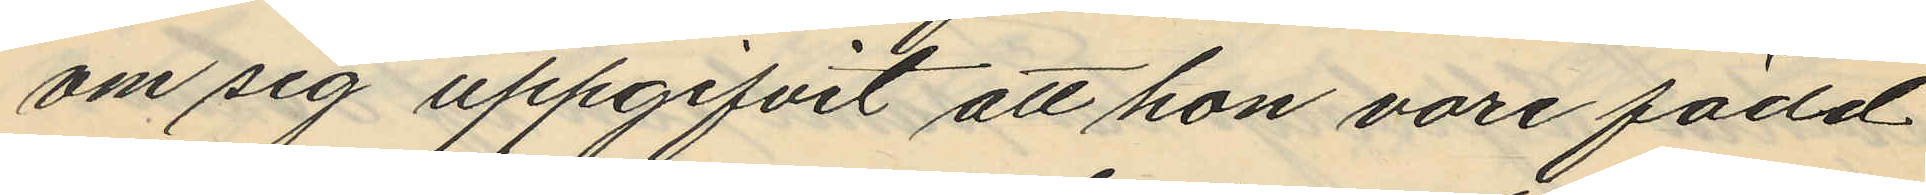om sig uppgifvit att hon vore född
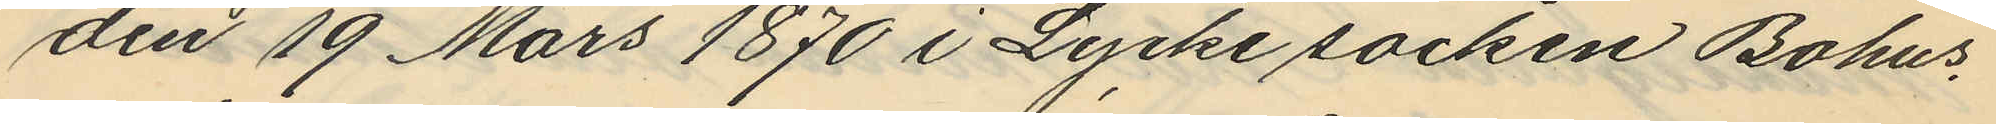den 19 Mars 1870 i Lycke socken Bohus¬
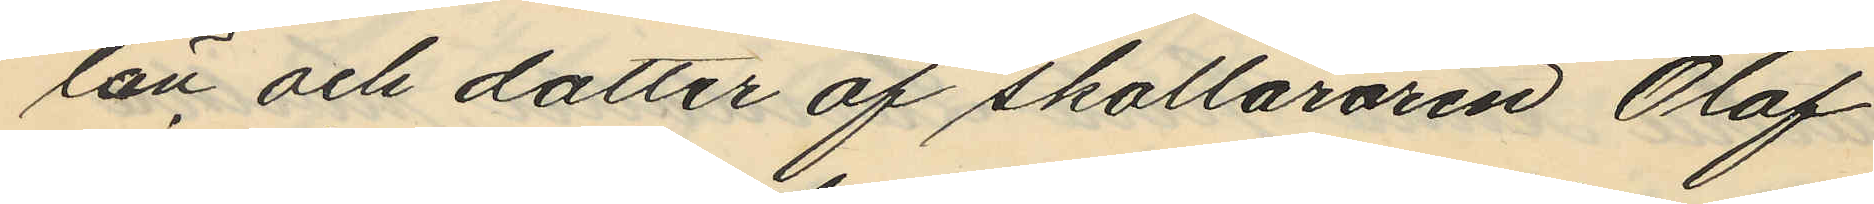län och dotter af skolläraren Olof
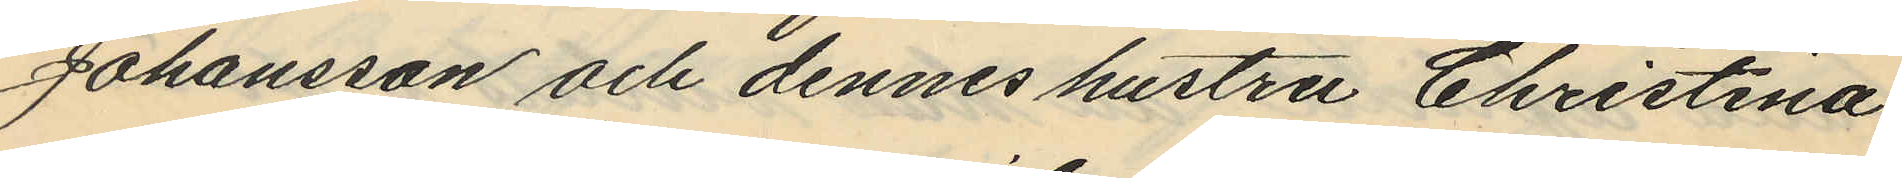Johansson och dennes hustru Christina
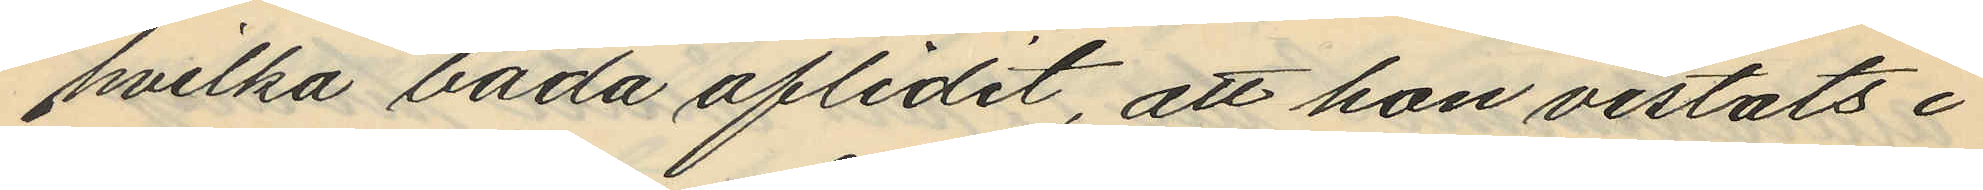hvilka båda aflidit, att hon vistats i
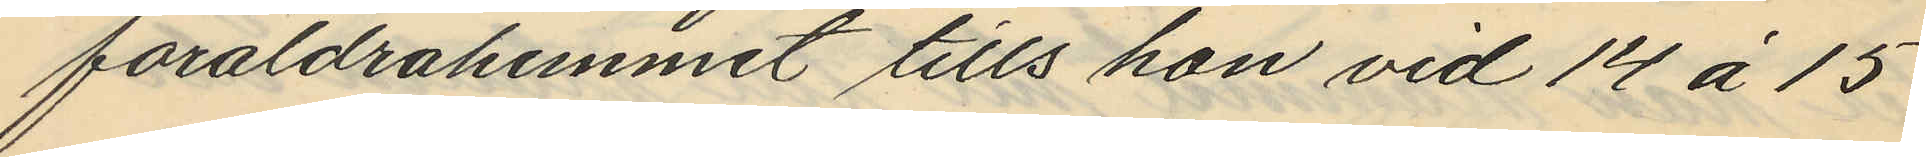föräldrahemmet tills hon vid 14 á 15
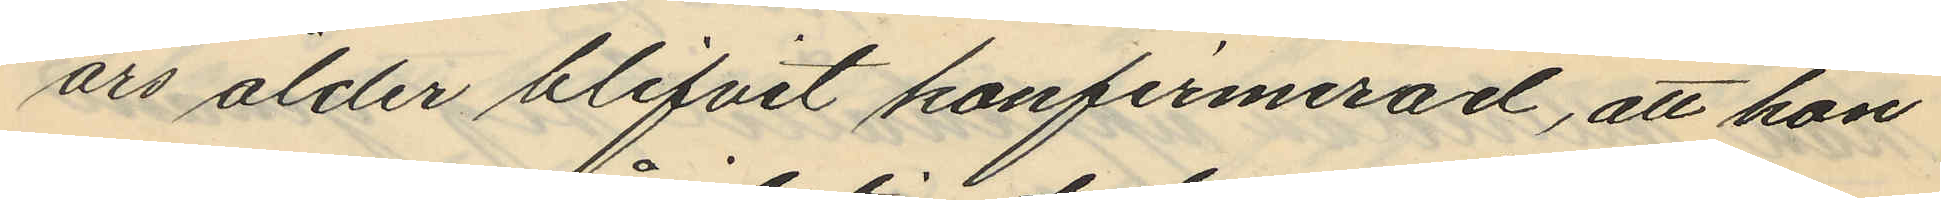ars ålder blifvit konfirmerad, att hon
